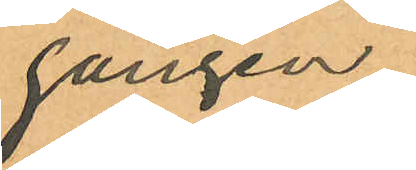gången,
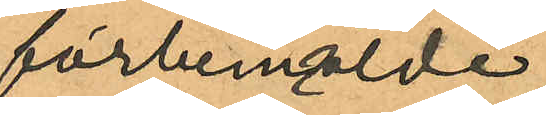förbemälde
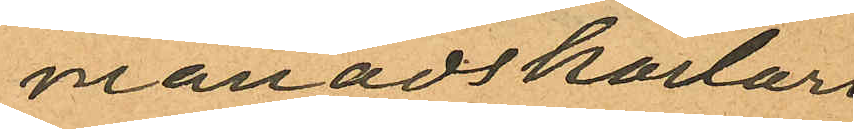månadskarlar
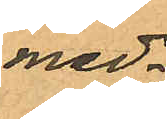med
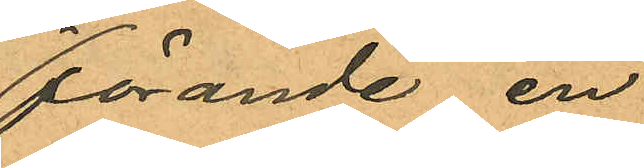förande en
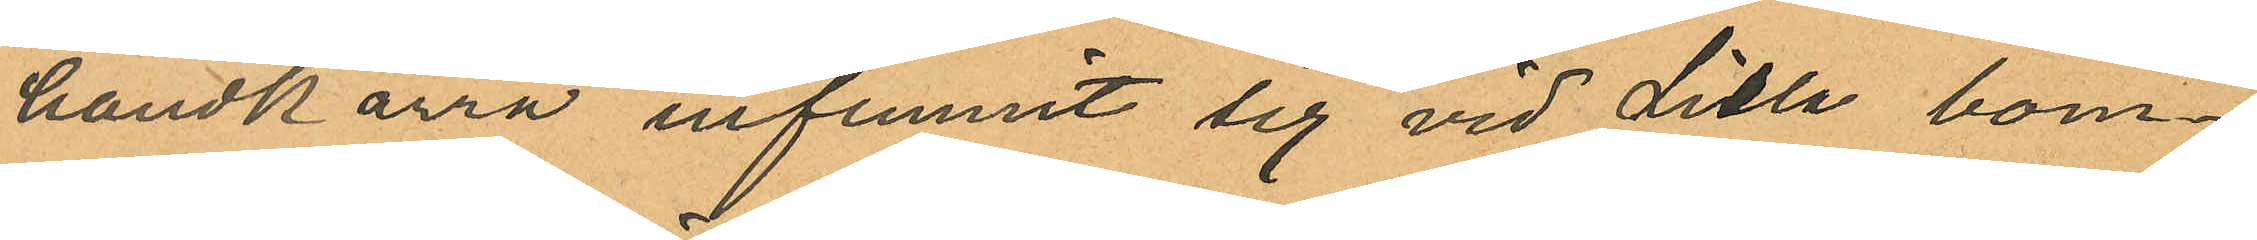handkärra infunnit sig vid Lilla bom¬
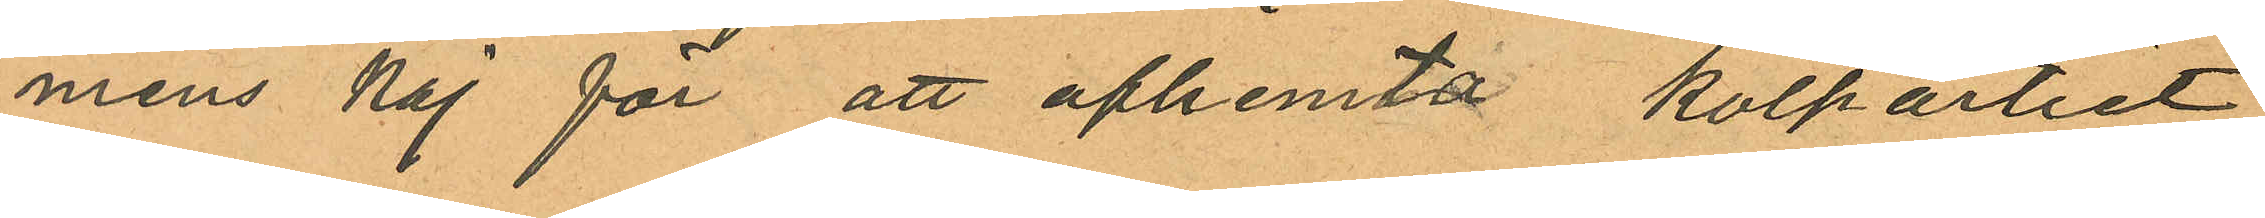mens kaj för att afhemta kolpartiet
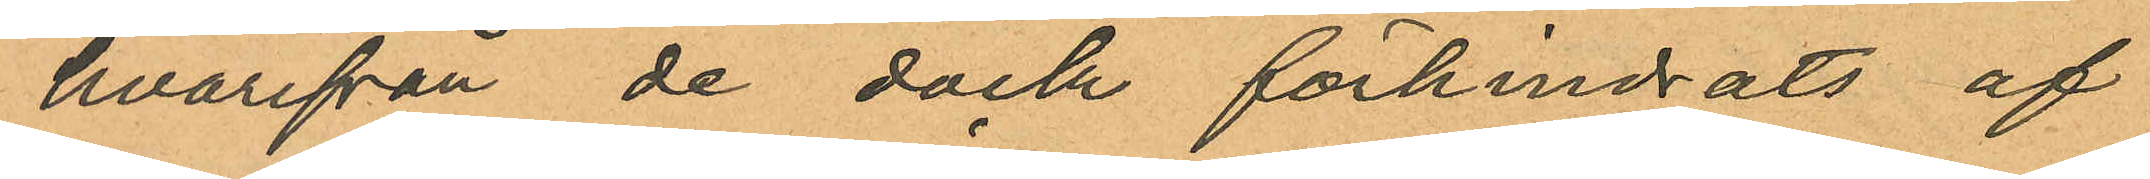hvarifrån de dock förhindrats af
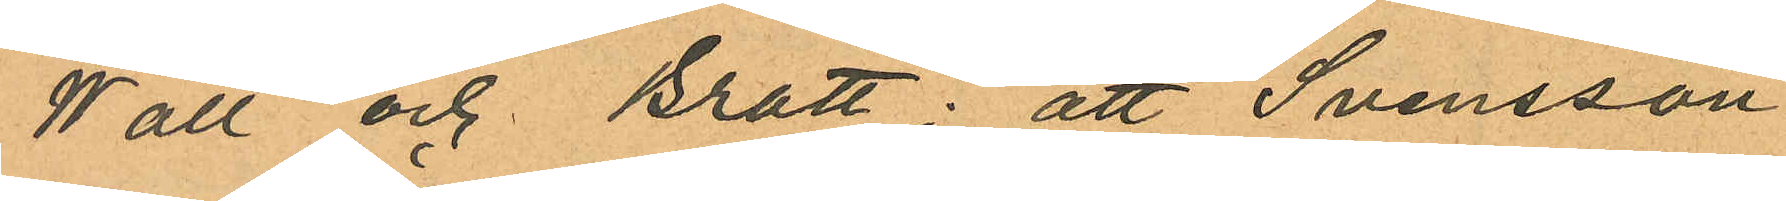Wall och Bratt; att Svensson
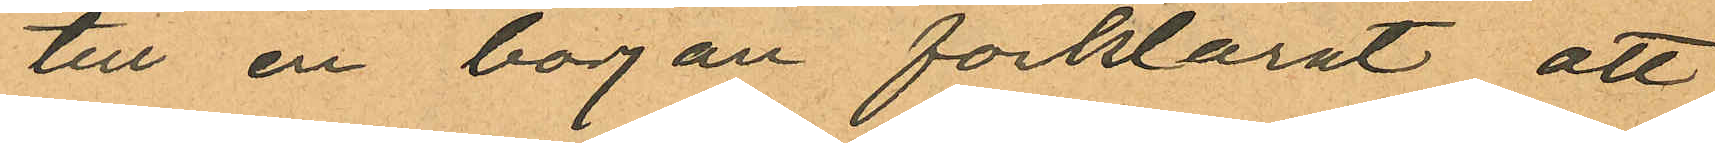till en början förklarat att
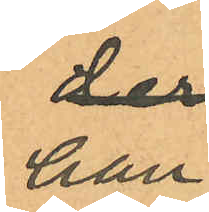han
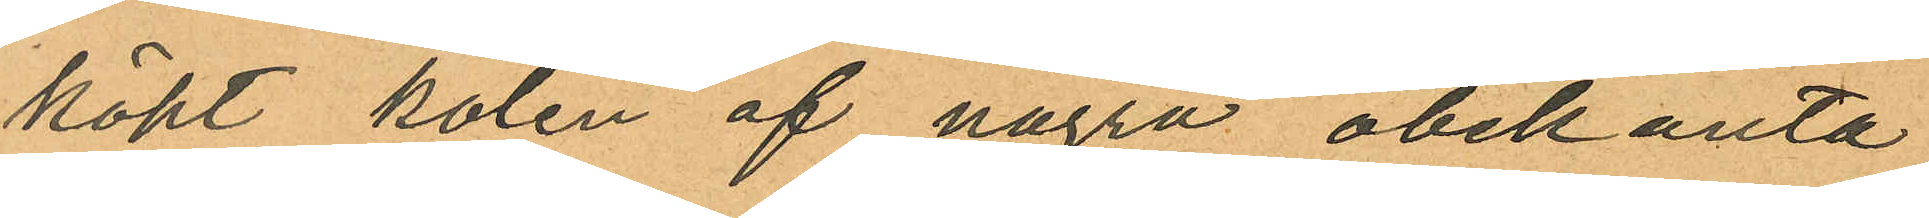köpt kolen af några obekanta
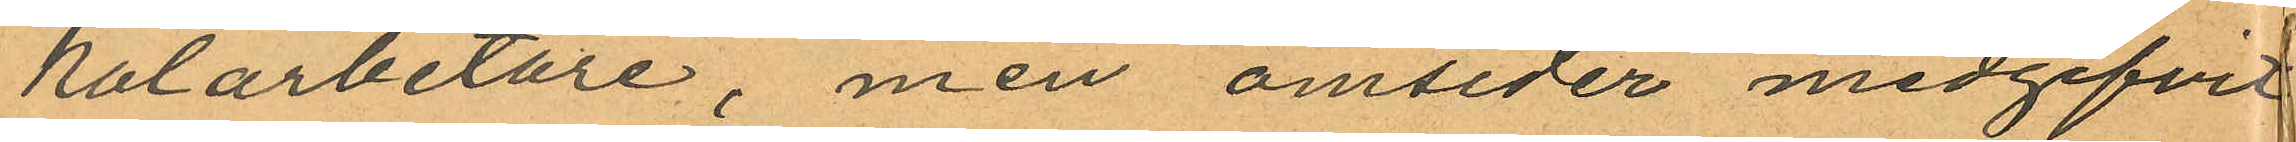kolarbetare, men omsider medgifvit
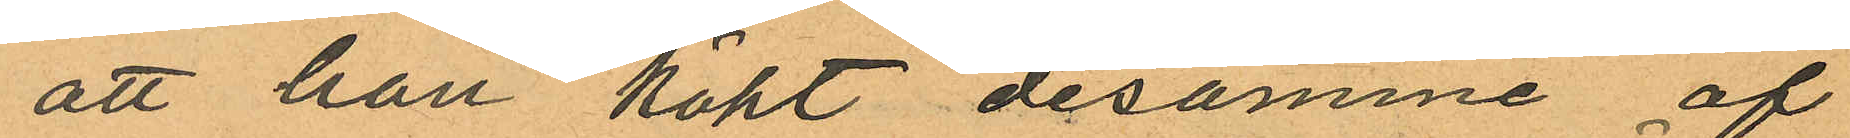att han köpt desamme af
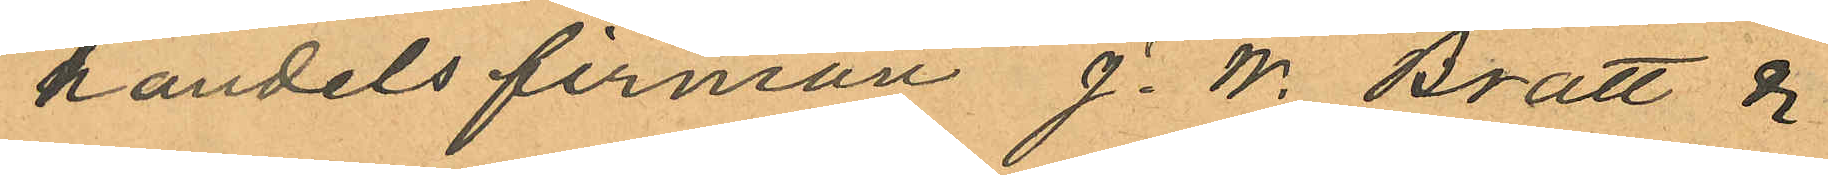handels firman J. W. Bratt &
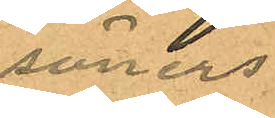söners
